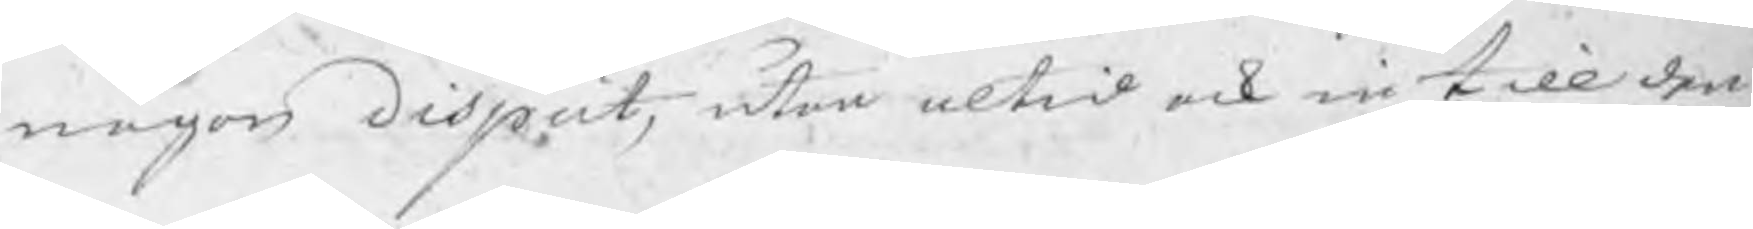någon disput, utan altid ock in till den¬
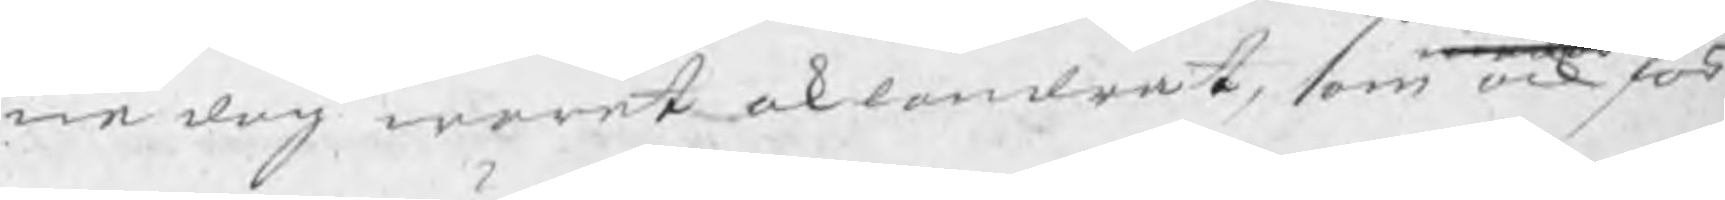na dag warit oklandrat, som ock för
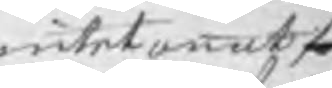intet annat
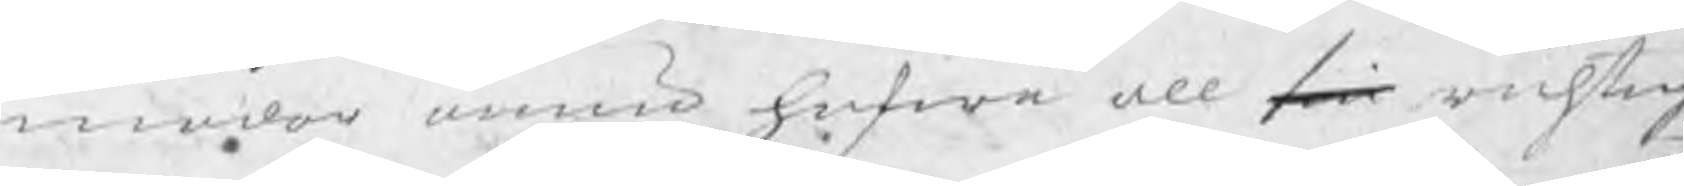modar ännu hafwa all sin richtig
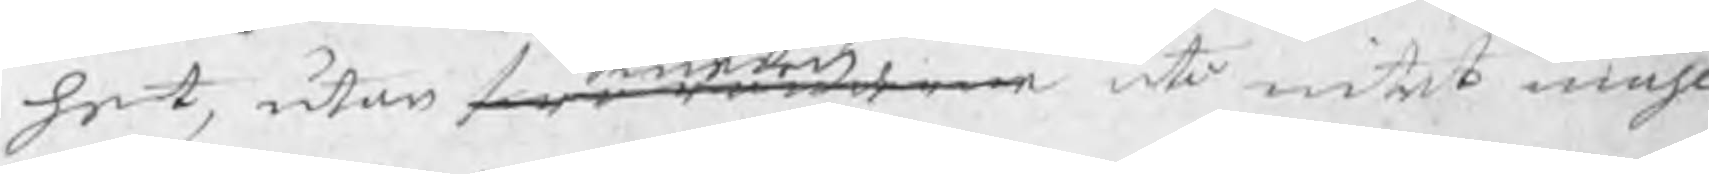het, utan swaranderne uti intet måhl
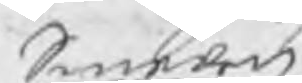Smeden
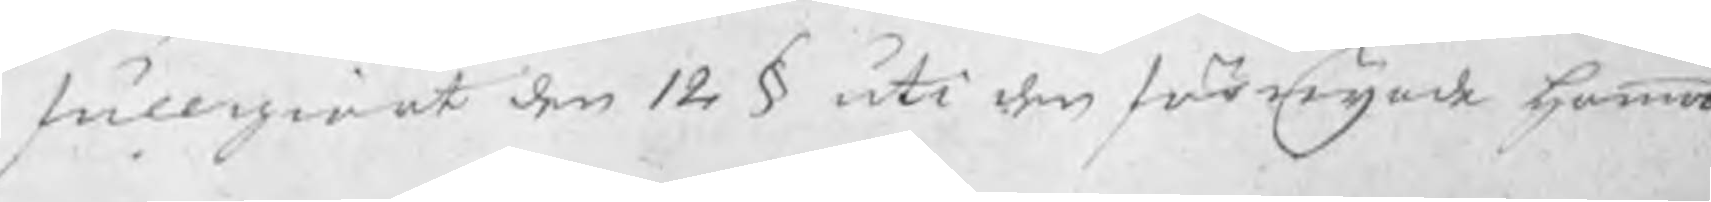fullgiort den 12 § uti den förnyade hammar
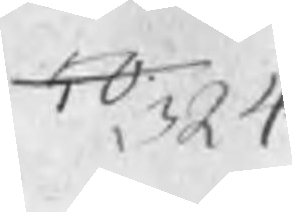50 324
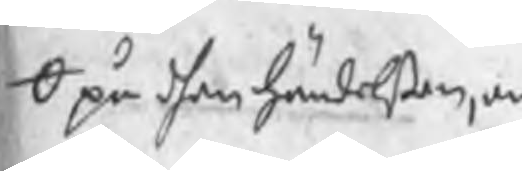O på dhen händelsen
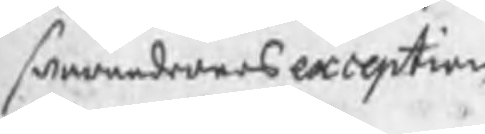swarandernes exception
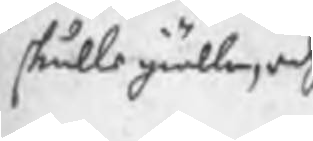skulle giälla, och
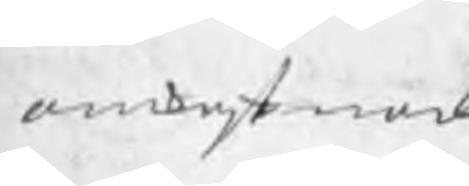omkostnad
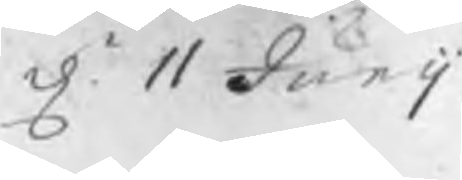d. 11 Junij
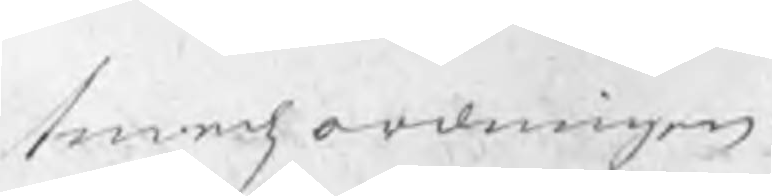smedzordningen.
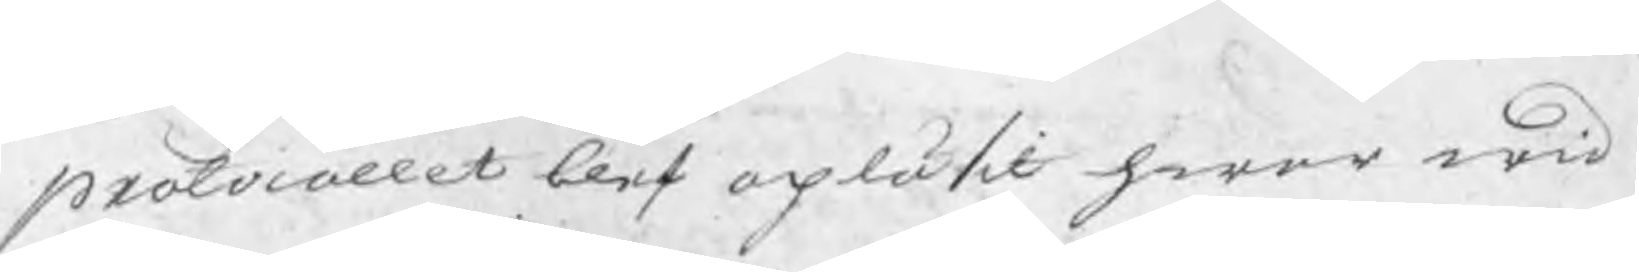protocollet blef opläsit hwar wid P
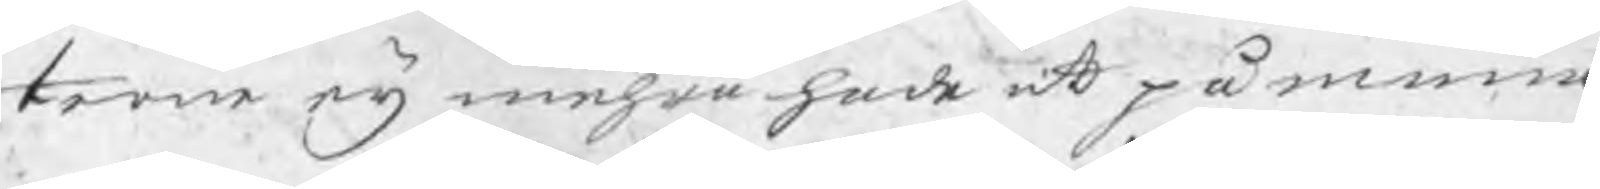terne eij mehra hade att påminna.
